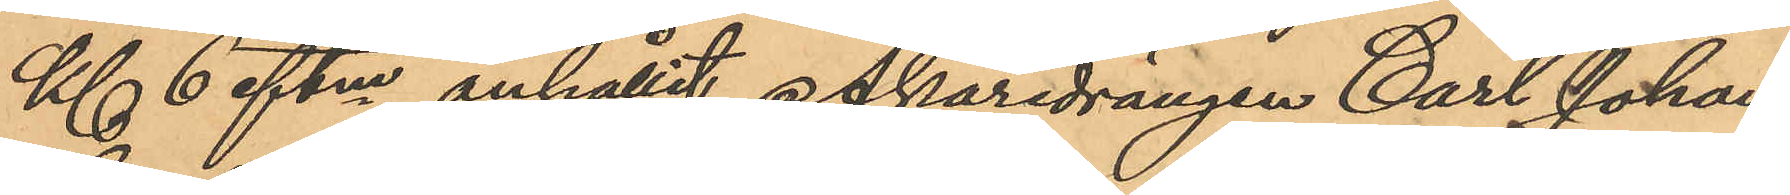Kl. 6 eftm anhållit Åkaredrängen Carl Johan
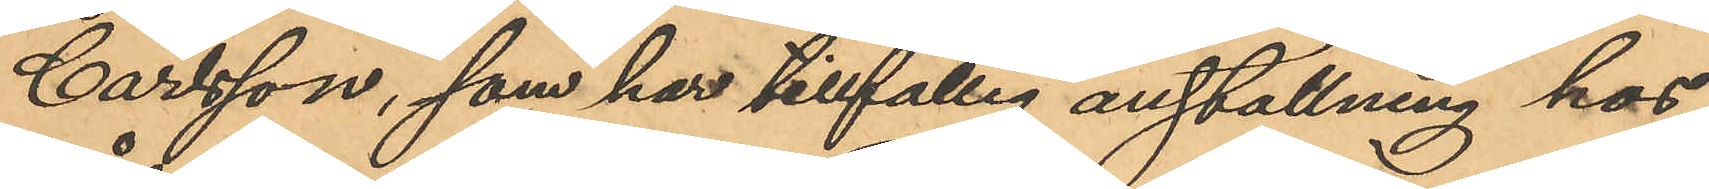Carlsson, som har tillfällig anställning hos
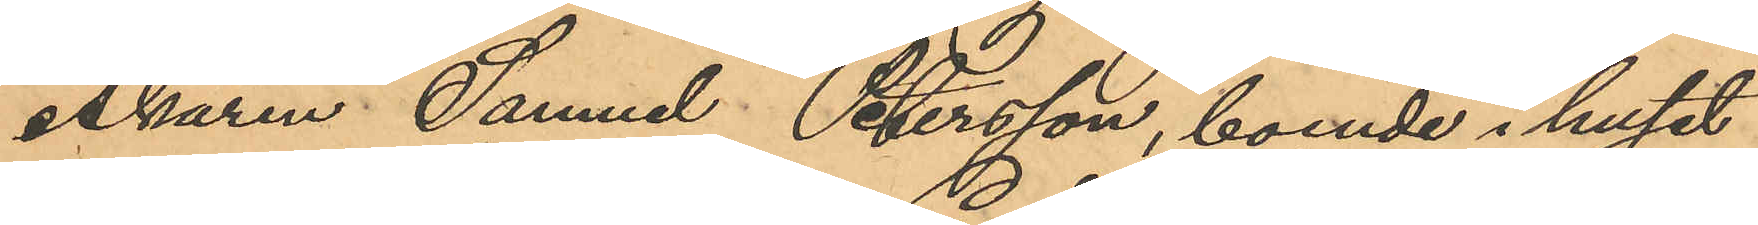Åkaren Samuel Petersson, boende i huset
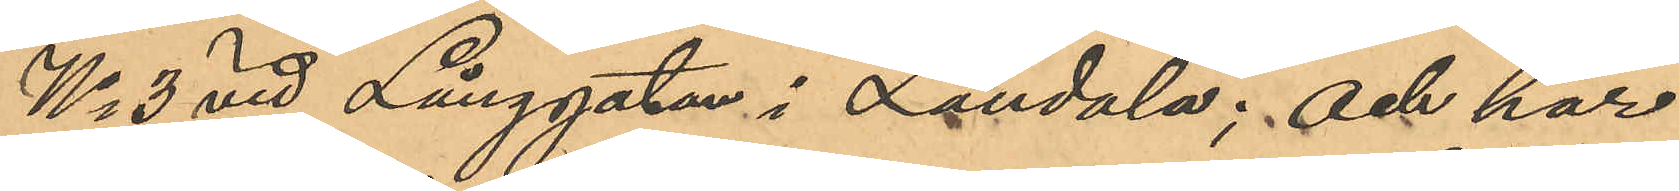No 3 vid Långgatan i Landala; och har
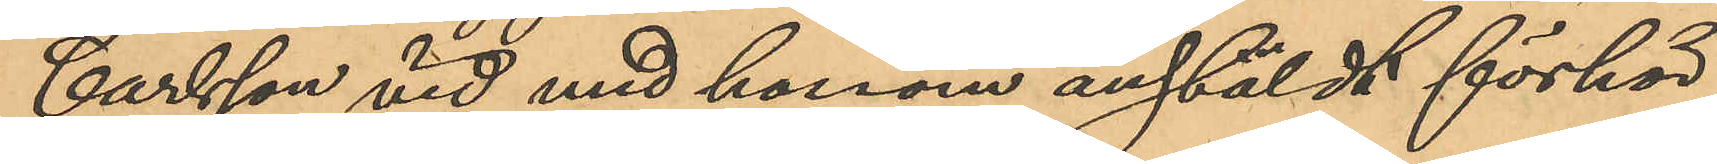Carlsson vid med honom anstäldt förhör
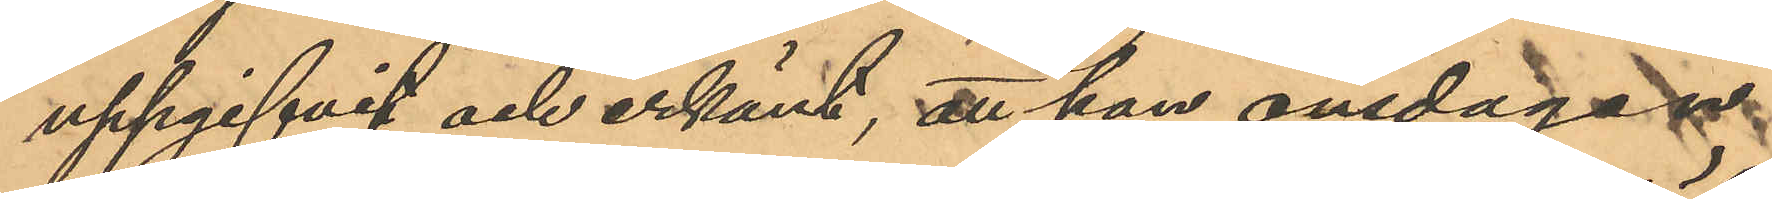uppgifvit och erkänt, att han onsdagen
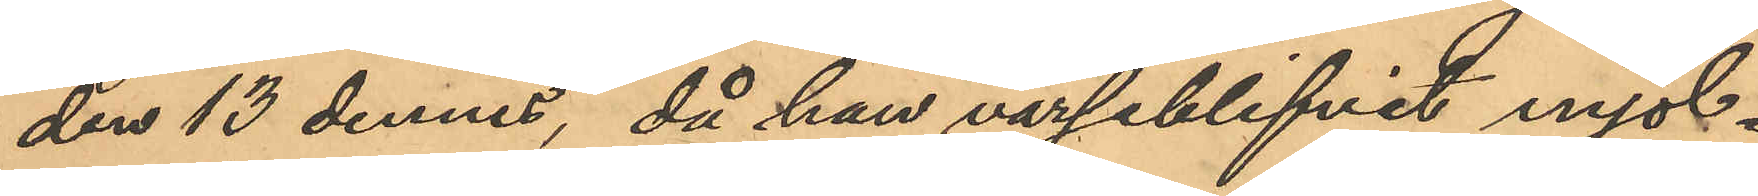den 13 dennes, då han varseblifvit mjöl¬
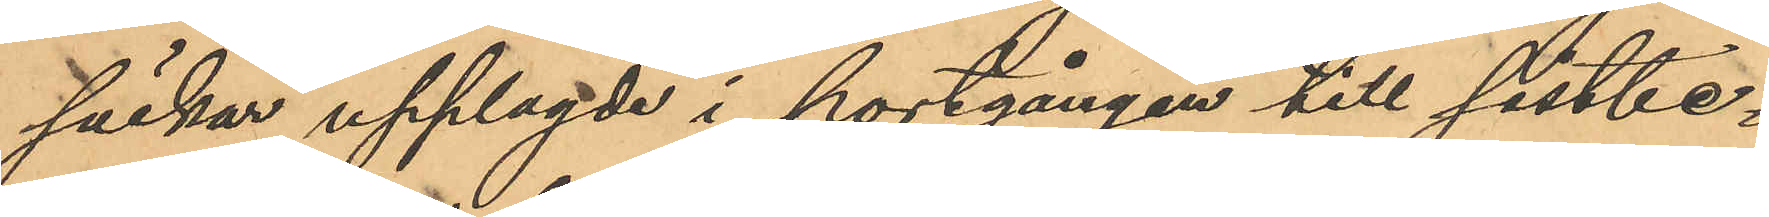säckar upplagde i portgången till sistbe¬
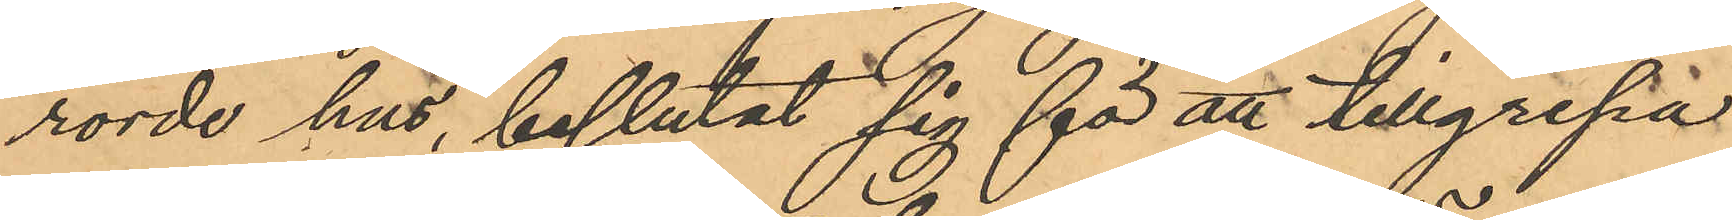rörde hus, beslutat sig för att tillgripa
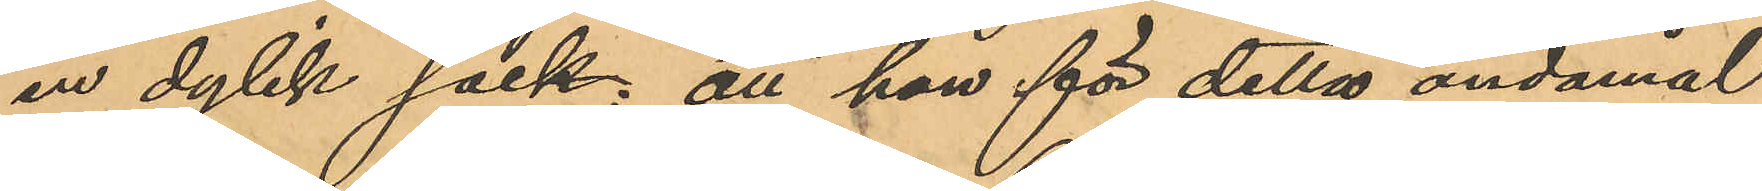en dylik sack; att han för detta ändamål
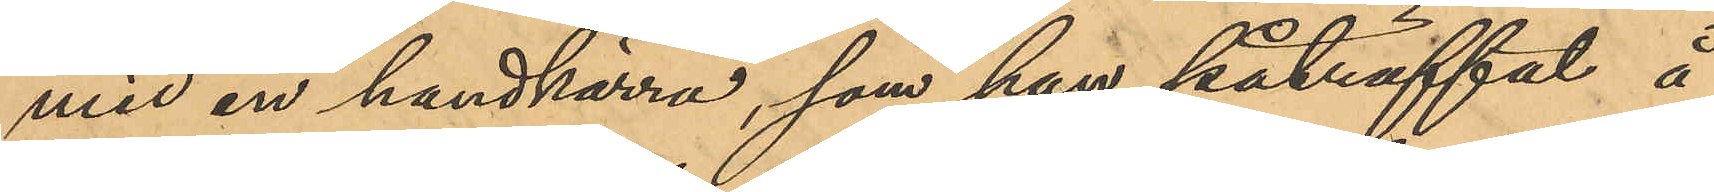med en handkärra, som han påträffat å
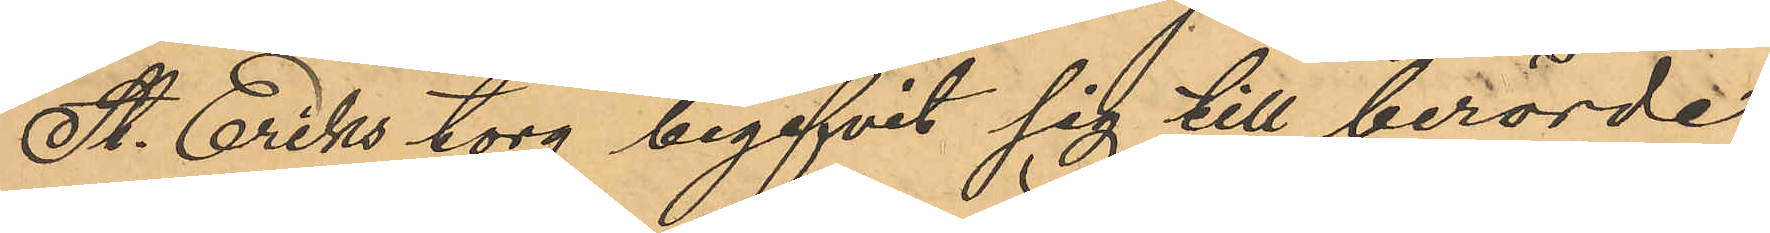St. Eriks torg begifvit sig till berörde
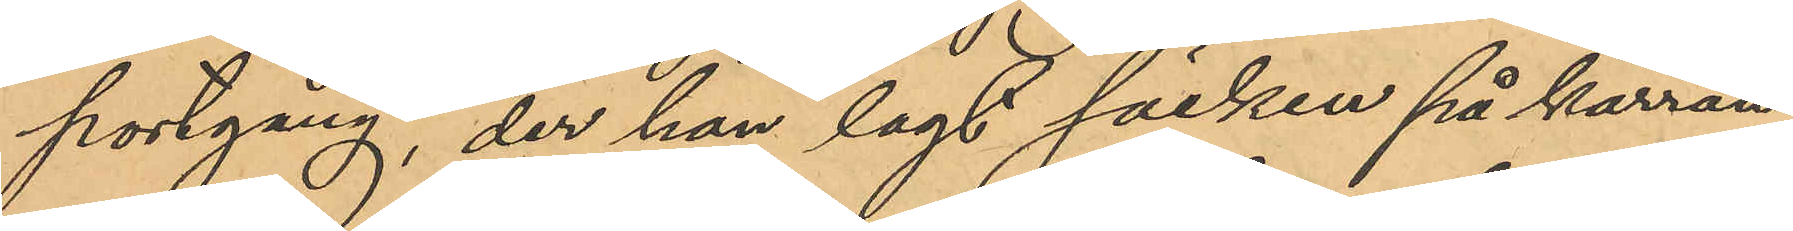portgång, der han lagt säcken på kärran,
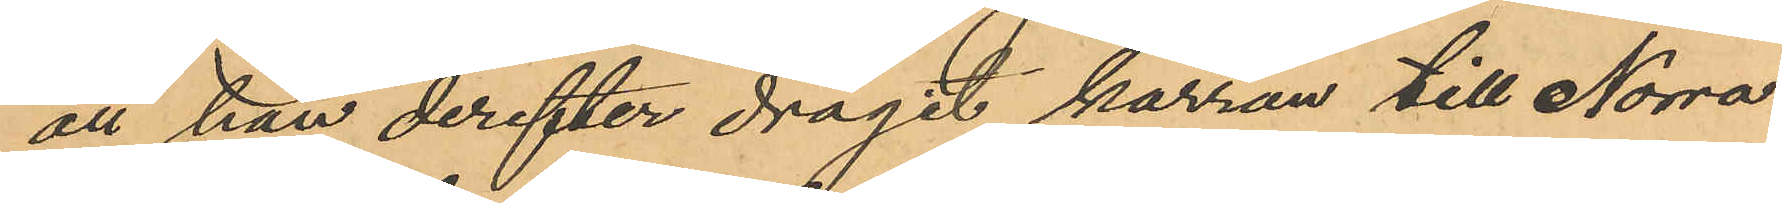att han derefter dragit kärran till Norra
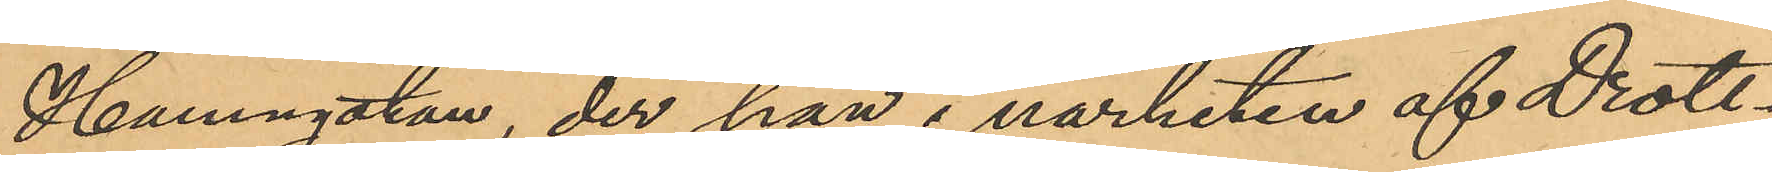Hamngatan, der han i närheten af Drott¬
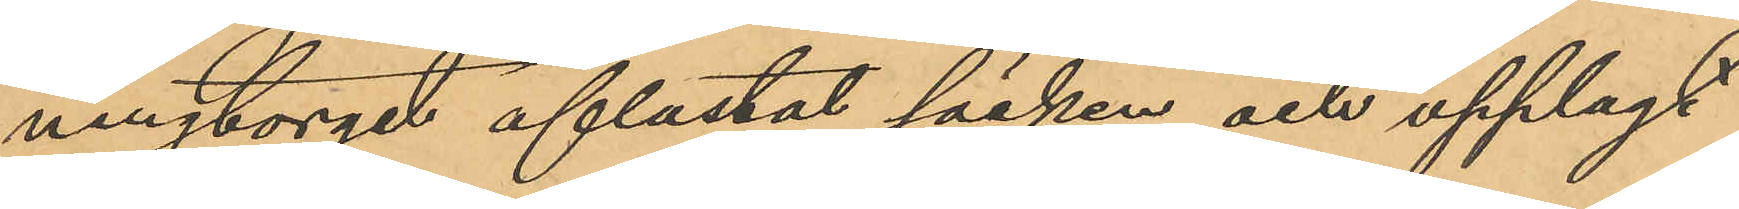ningtorget aflastat säcken och upplagt
